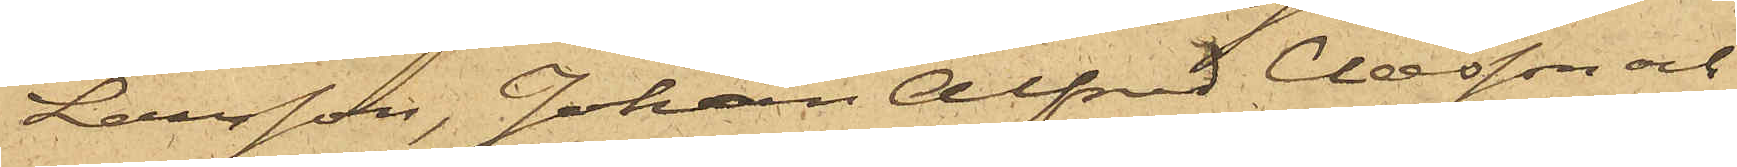Larsson, Johan Alfred Claesson och
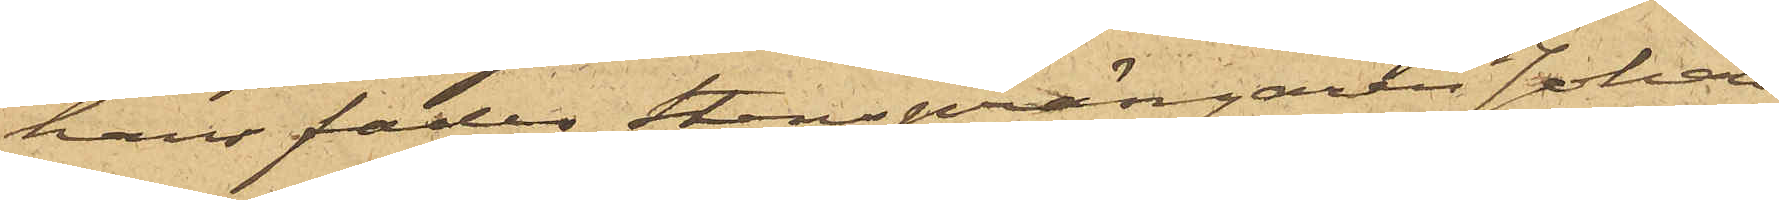hans fader Stensprängaren Johan
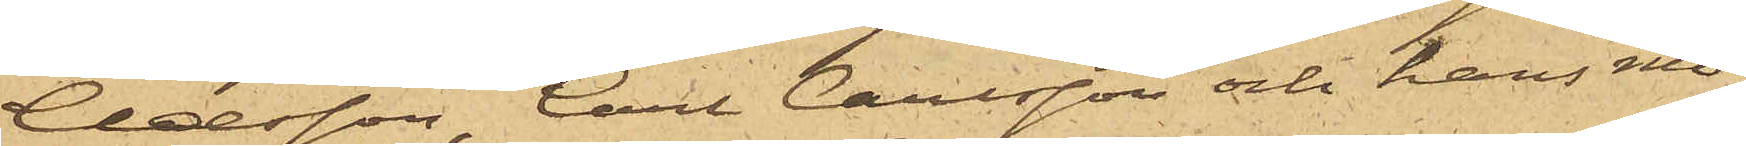Claesson, Carl Carlsson och hans mo¬
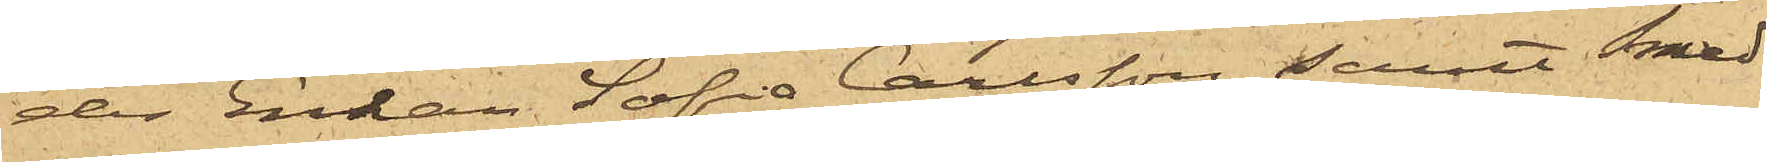der Enkan Sofia Carlsson samt Smed¬
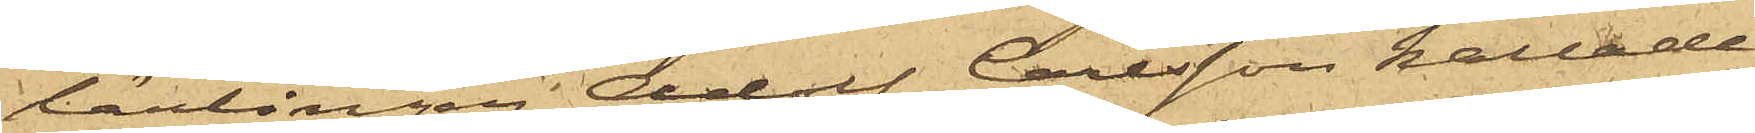lärlingen Adolf Carlsson kallade
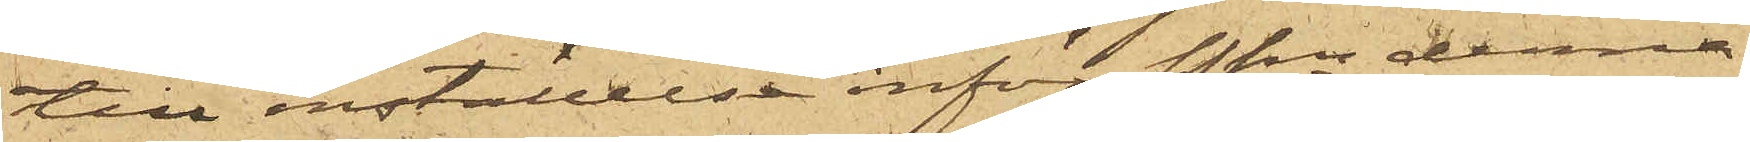till inställelse inför Pkn denna
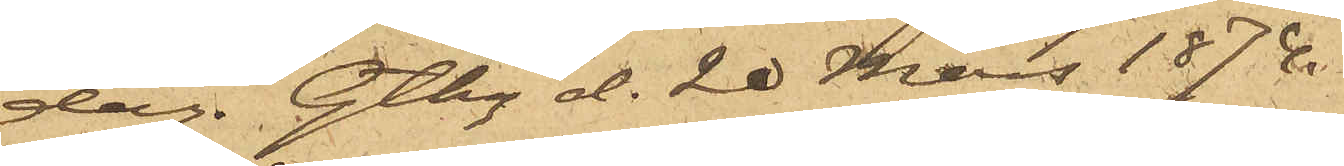dag. Gtbg d. 20 Mars 1874.
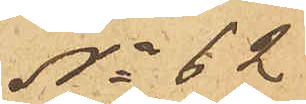No 62
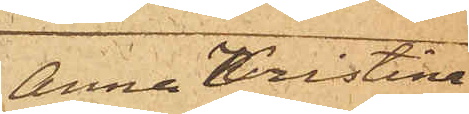Anna Kristina
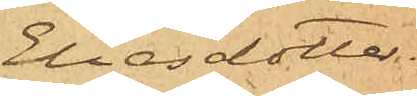Eliasdotter
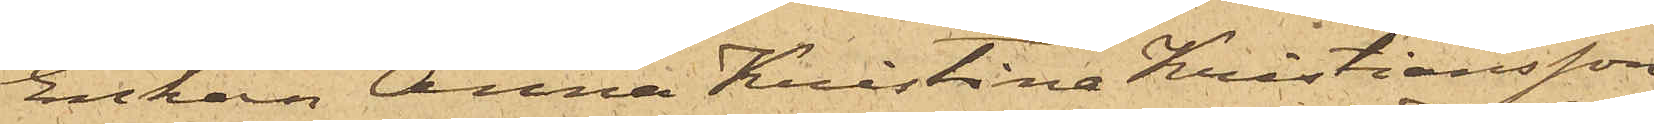Enkan Anna Kristina Kristiansson,
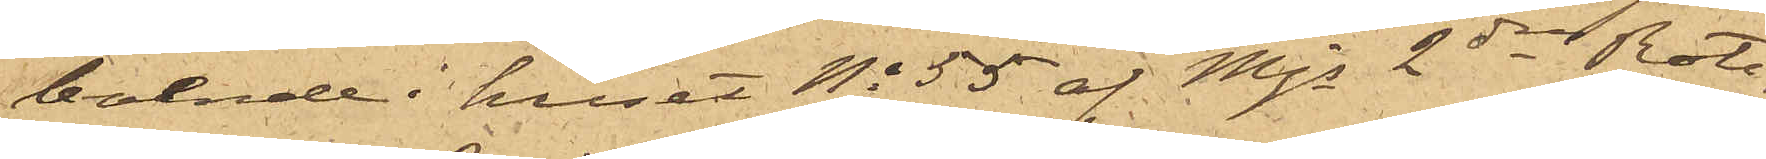boende i huset No 55 af Majs 2dre Rote,
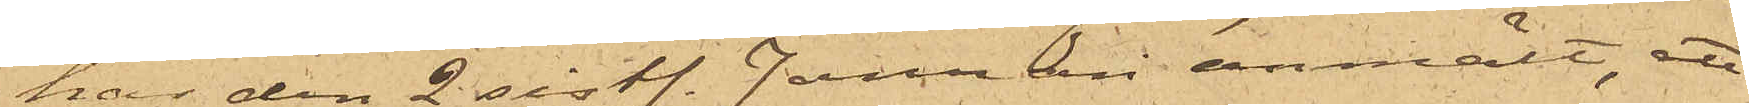har den 2 sist. Januari hit anmält, att
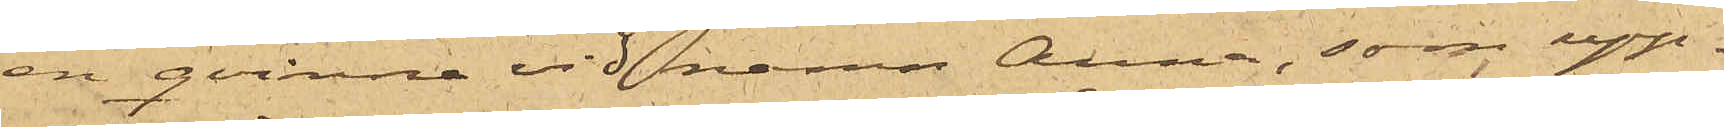en qvinna vid namn Anna, som upp¬
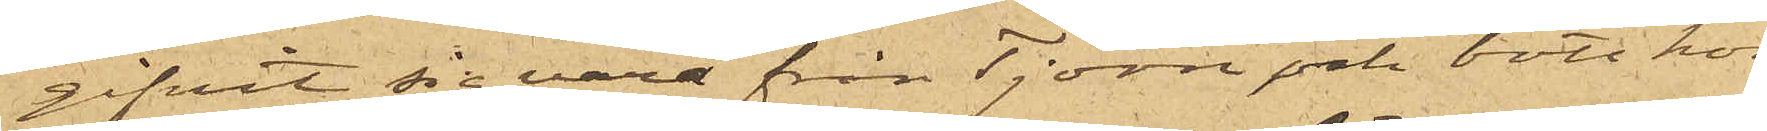gifvit sig vara från Tjörn och bott hos
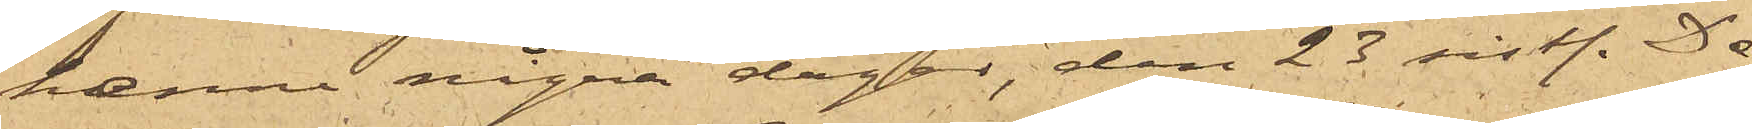henne några dagar, den 23 sist. De¬
